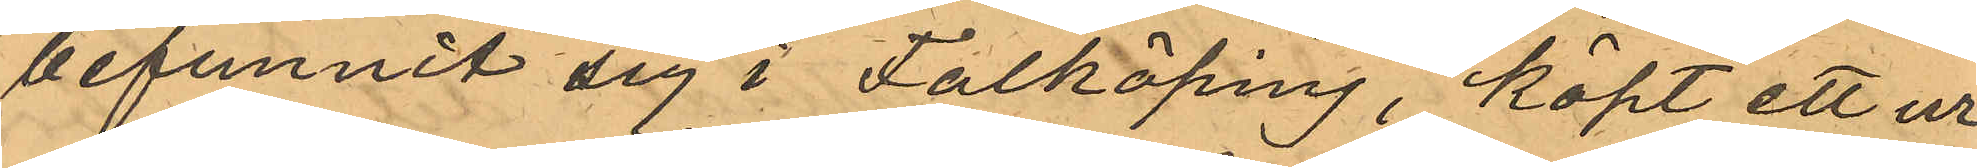befunnit sig i Falköping, köpt ett ur
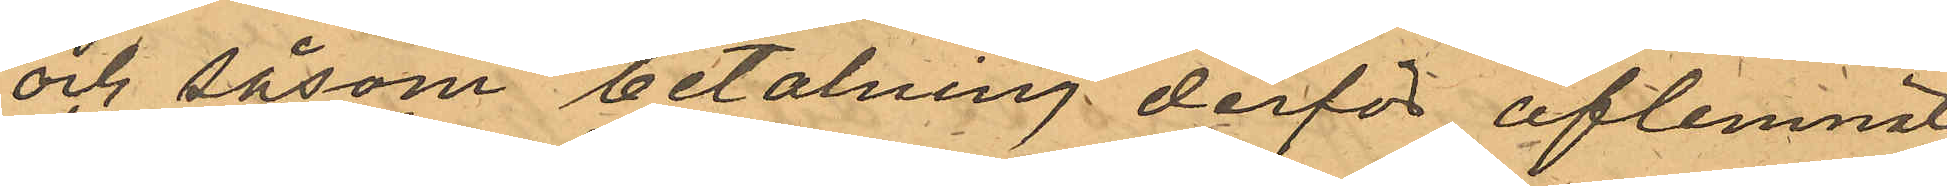och såsom betalning derför aflemnat
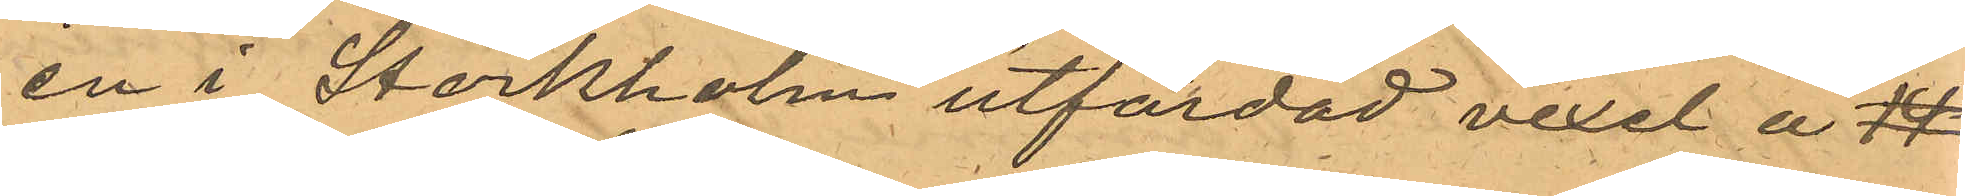en i Storkholm utfärdad vexel å 14
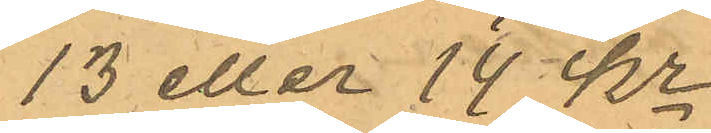13 eller 14 Kr.
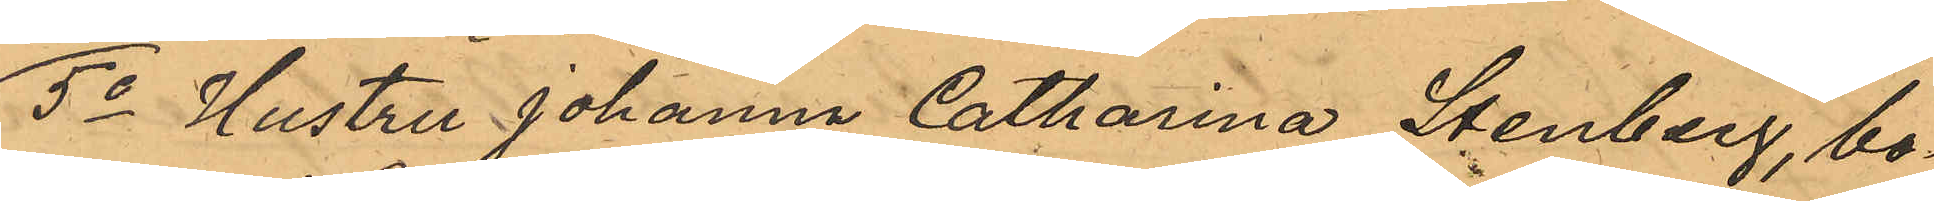5o Hustru Johanna Catharina Stenberg, bo¬
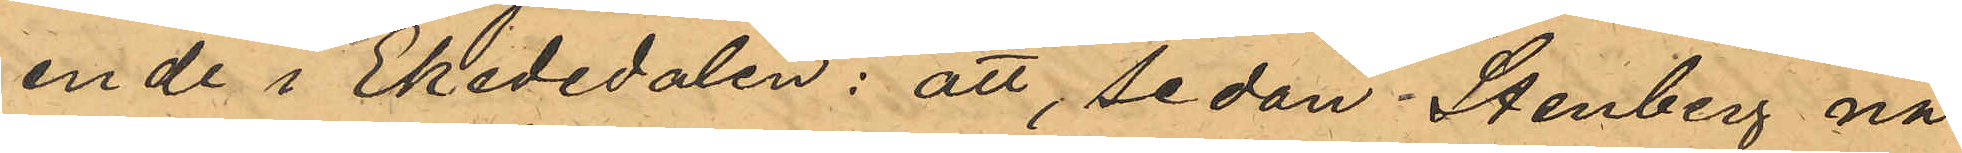ende i Ekededalen: att sedan Stenberg nå¬
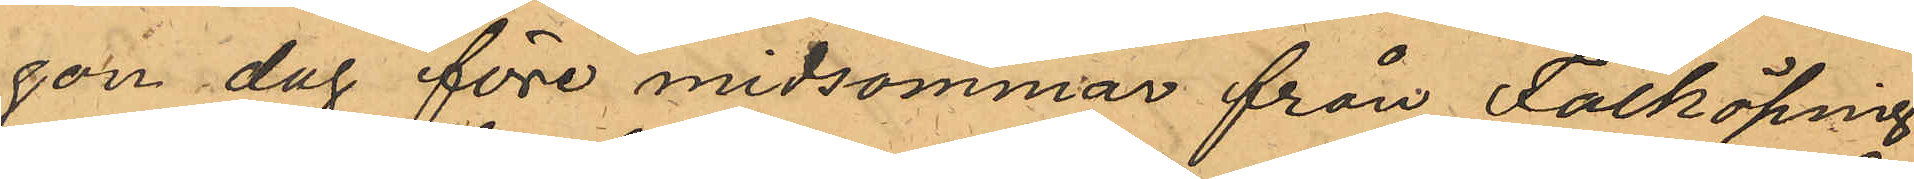gon dag före midsommar från Falköping
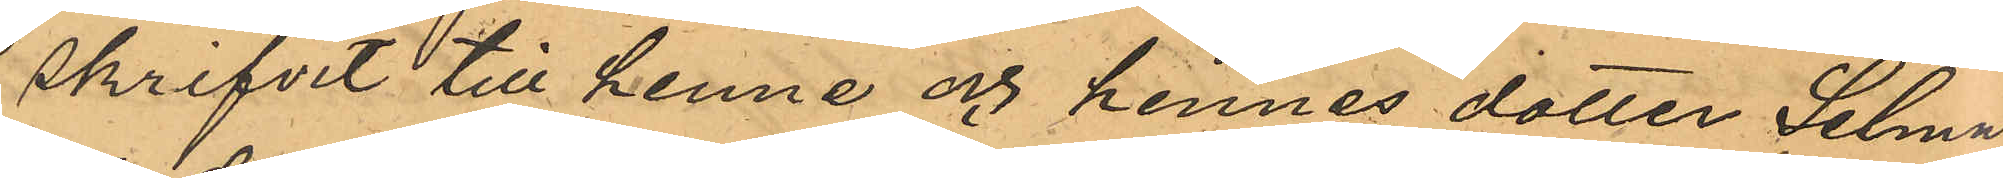skrifvit till henne och hennes dotter Selma,
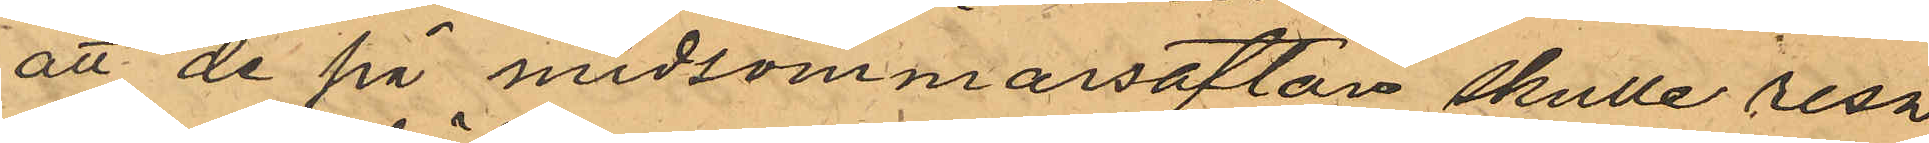att de på midsommarsafton skulle resa
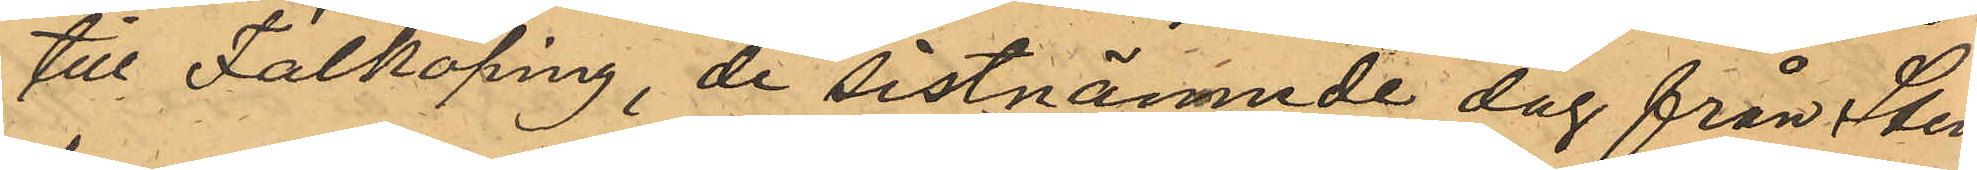till Falköping, de sistnämnde dag från Sten¬
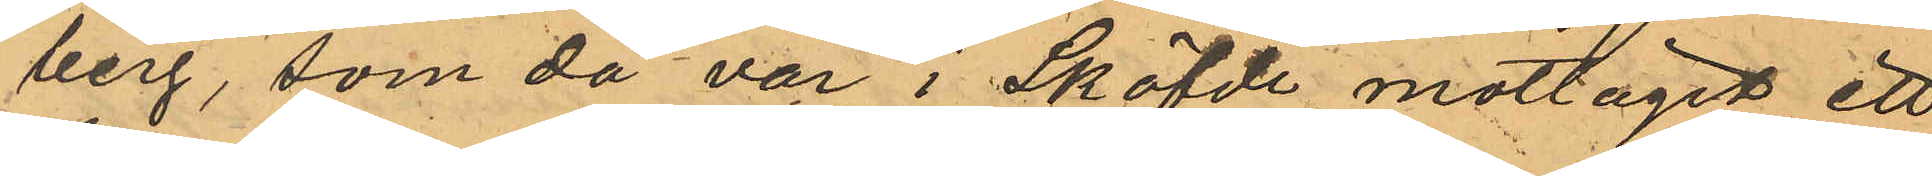berg, som då var i Sköfde mottagit ett
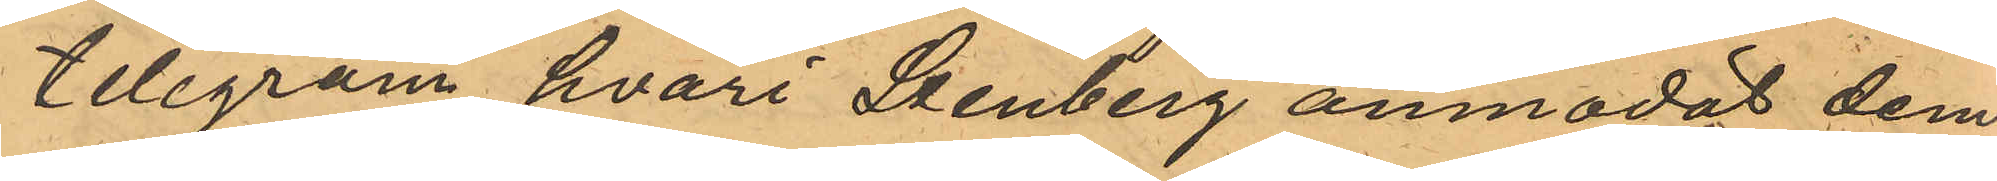telegram hvari Stenberg anmodat dem
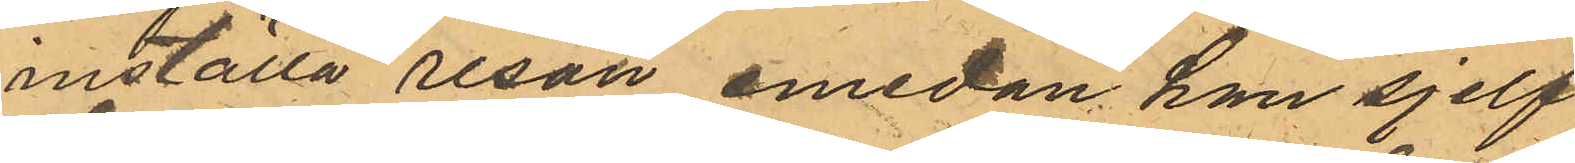inställa resan emedan han sjelf
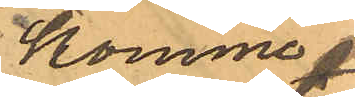komme.
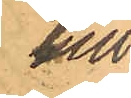till
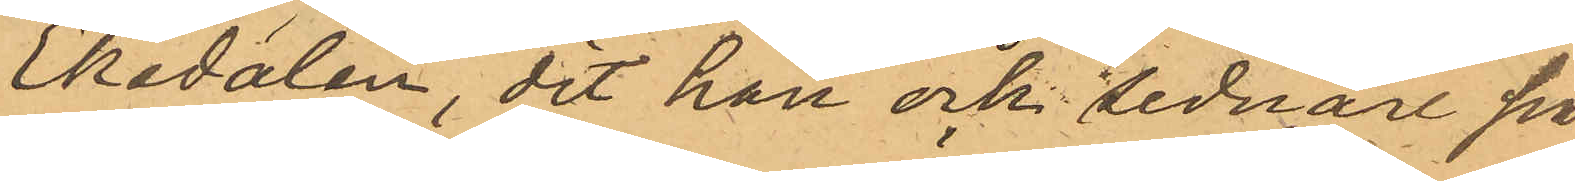Ekedalen, dit han ock sednare på
